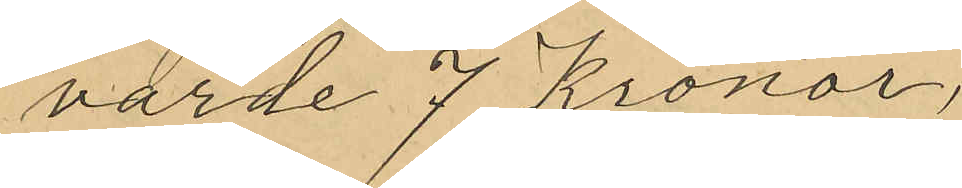varde 7 Kronor,
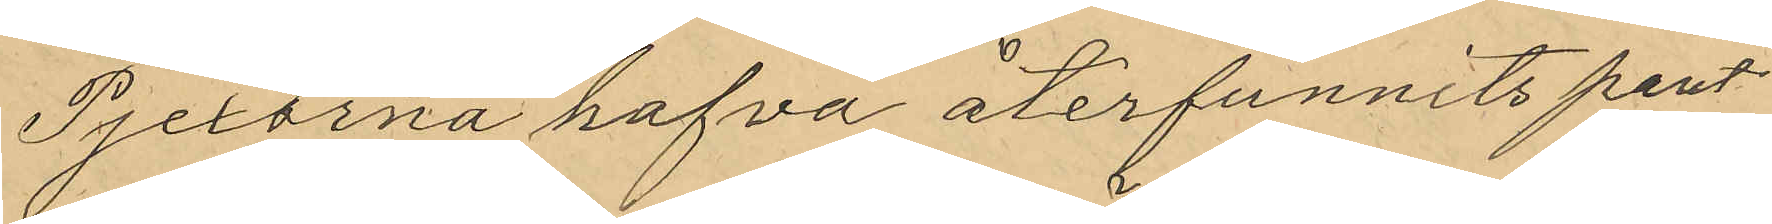Pjexorna hafva återfunnits pant¬
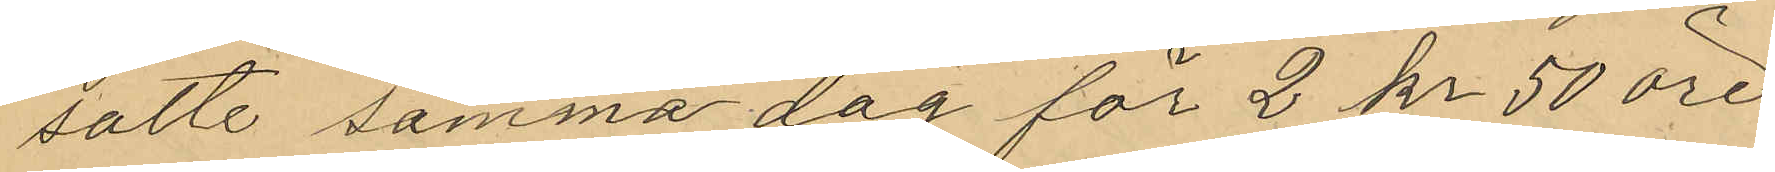satte samma dag för 2 kr 50 öre
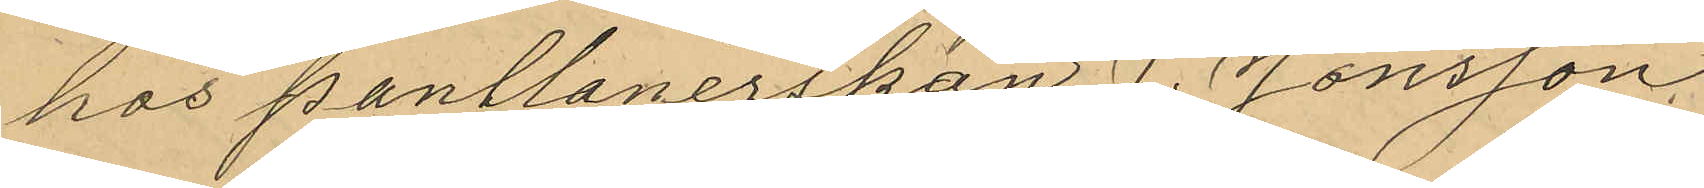hos pantlånerskan J. Jonsson,
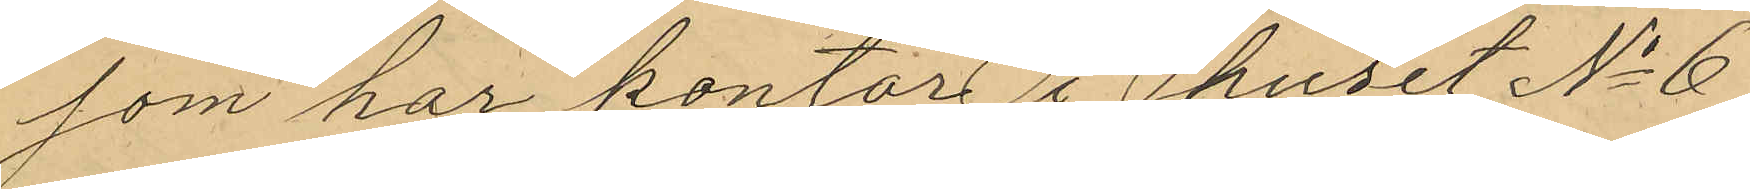som har kontor i huset No 6
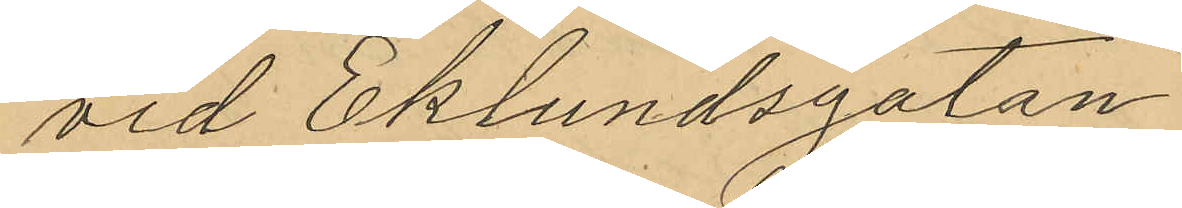vid Eklundsgatan
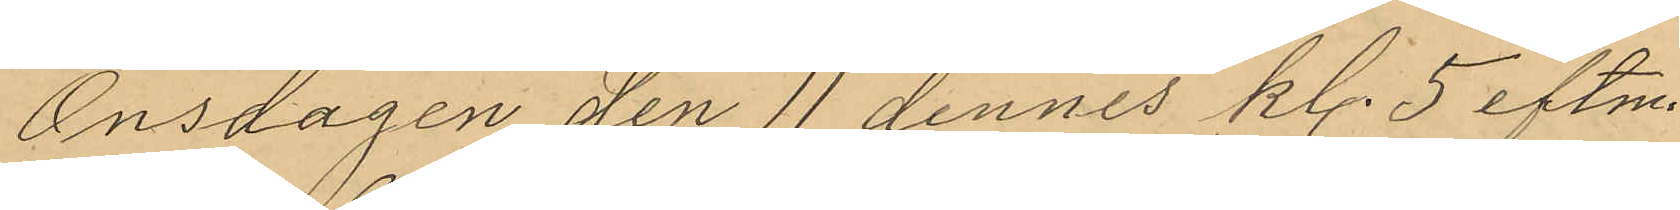Onsdagen den 11 dennes kl. 5 eftm
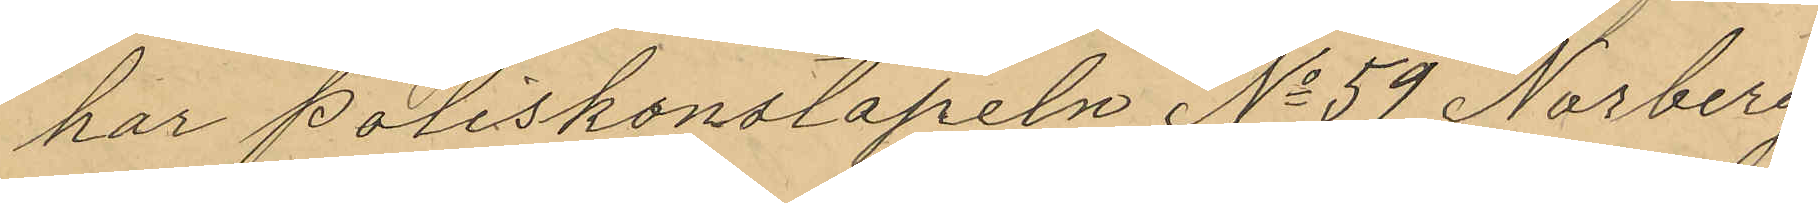har poliskonstapeln No 59 Norberg
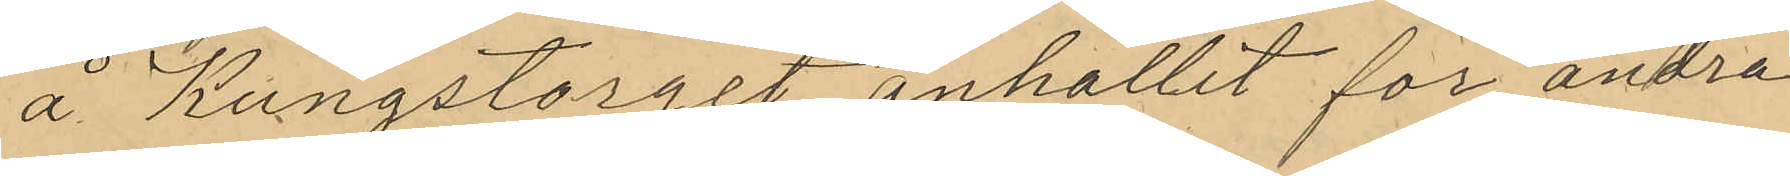å Kungstorget anhållit för andra
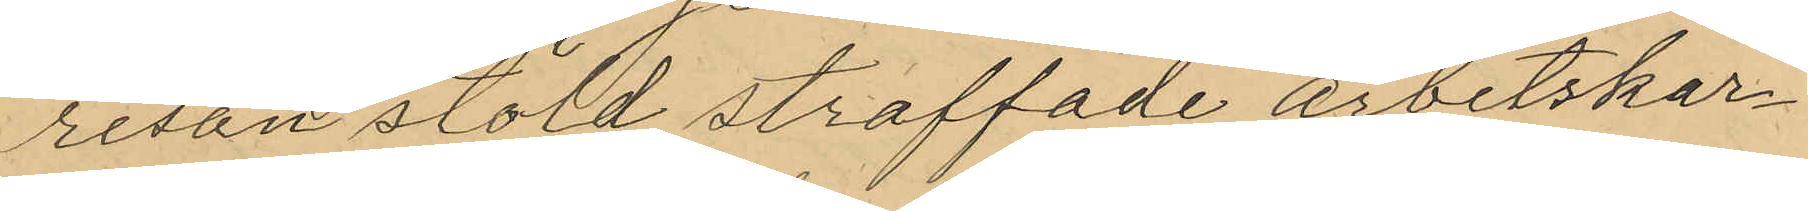resan stöld straffade arbetskar¬
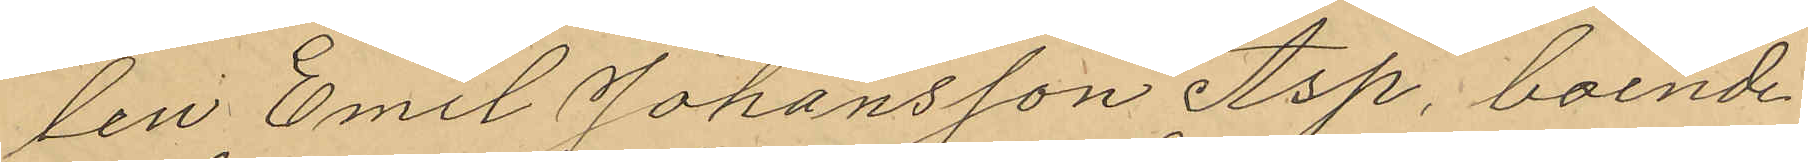len Emil Johansson Asp, boende
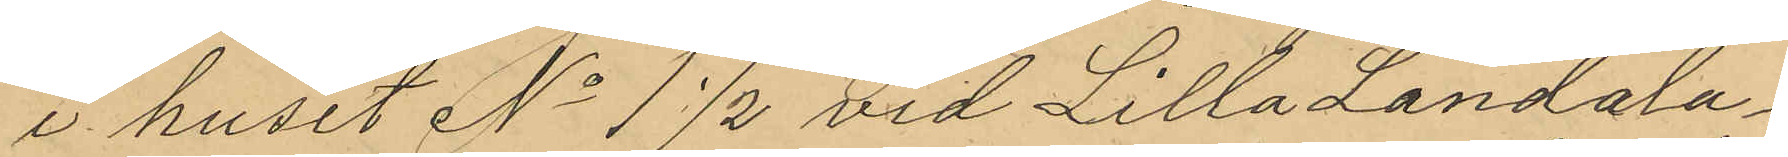i huset No 1 1/2 vid Lilla Landala¬
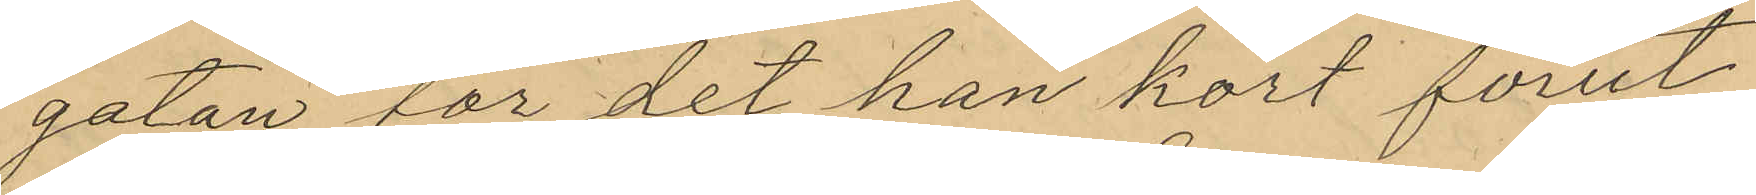gatan, för det han kort förut
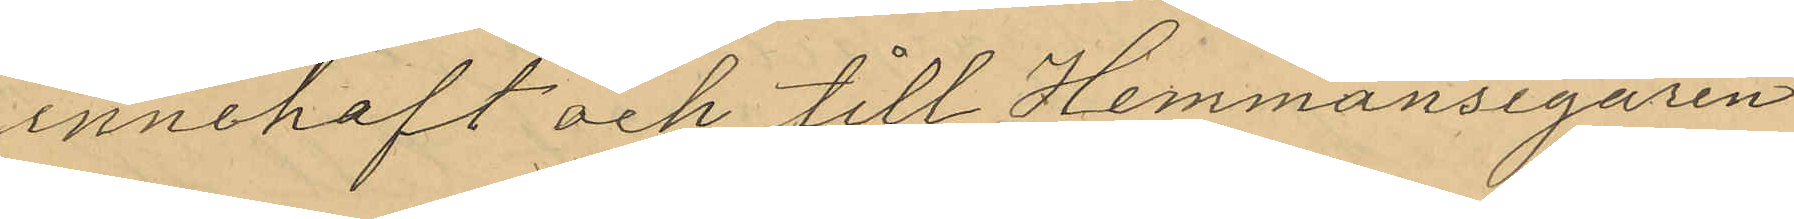innehaft och till Hemmansegaren
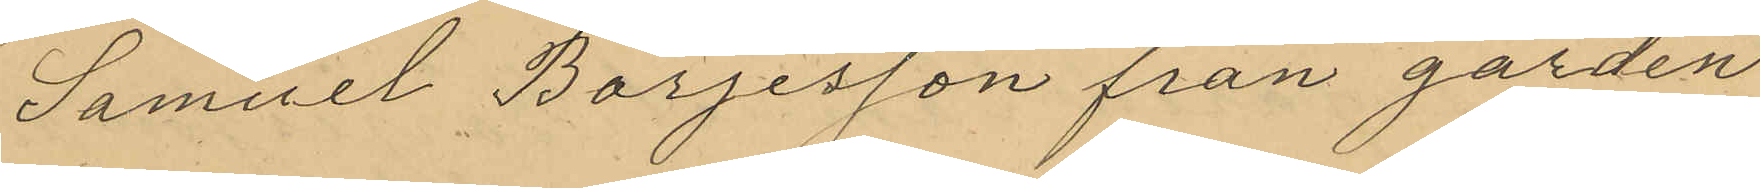Samuel Börjesson från gården
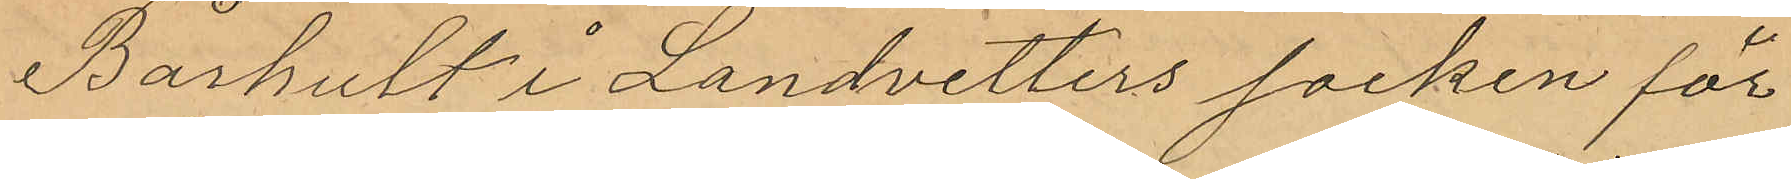Bårhult i Landvetters socken för
